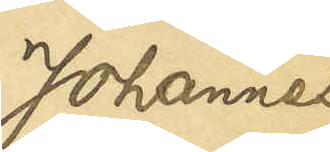Johannes
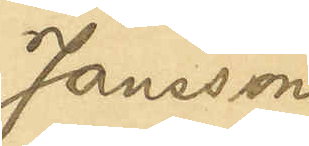Jansson
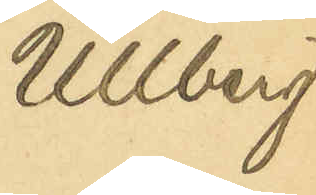Ullberg
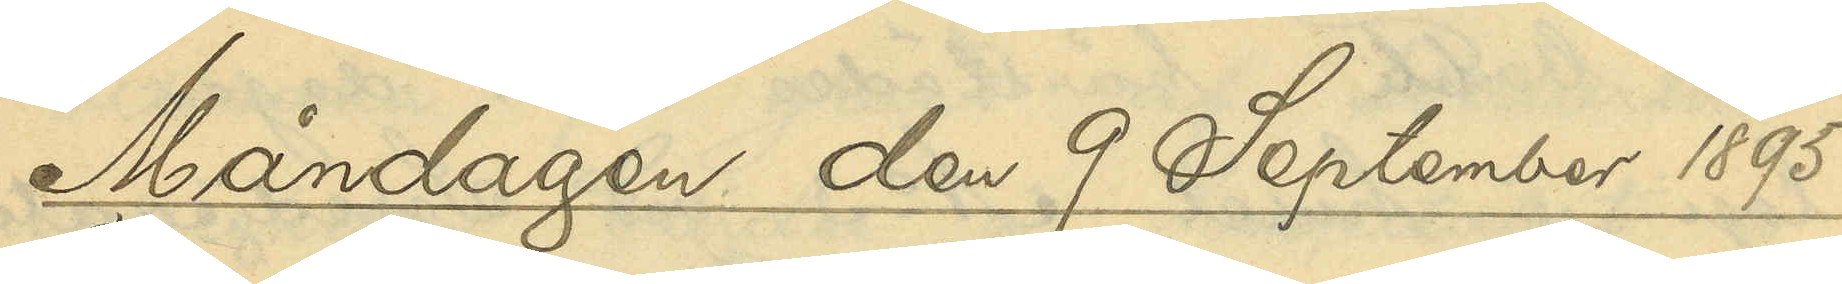Måndagen den 9 September 1895
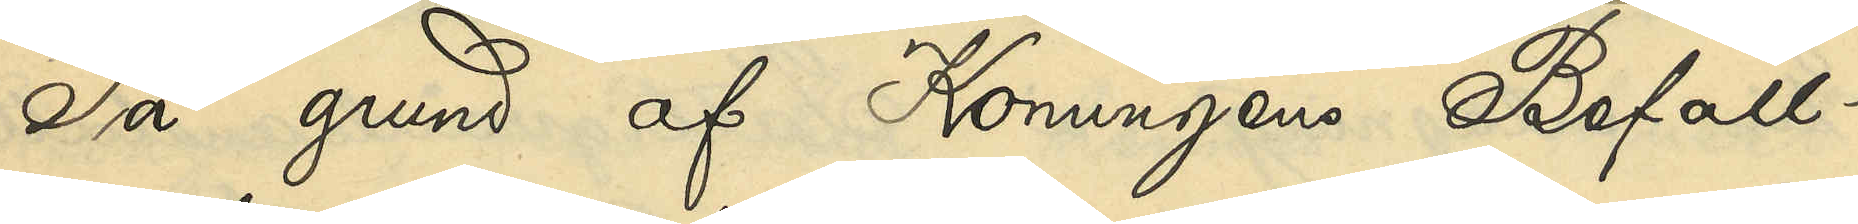På grund af Konungens Befall¬
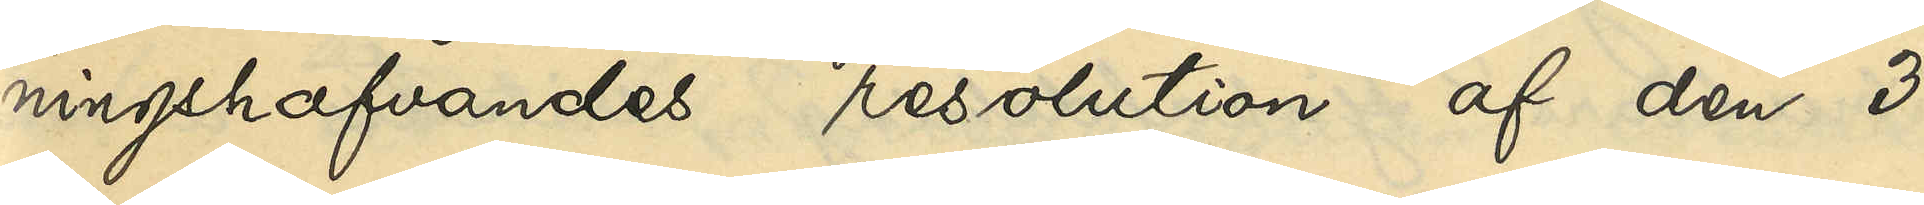ningshafvandes resolution af den 3
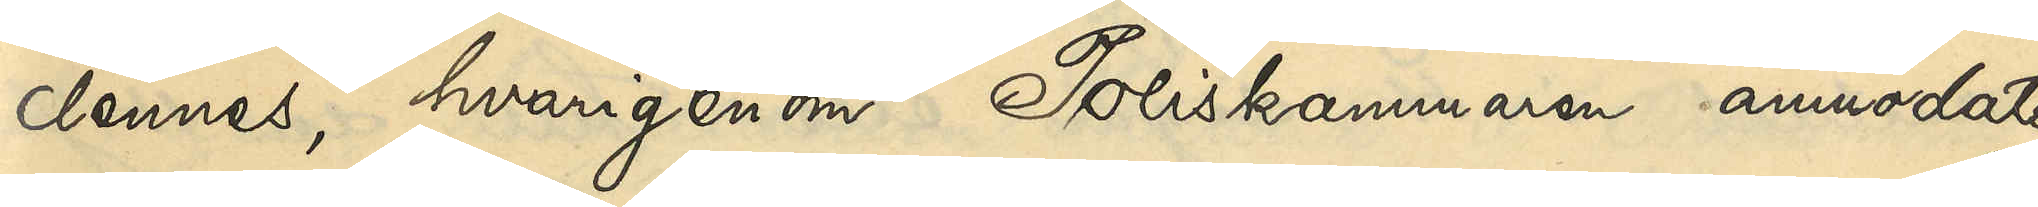dennes, hvarigenom Poliskammaren anmodats
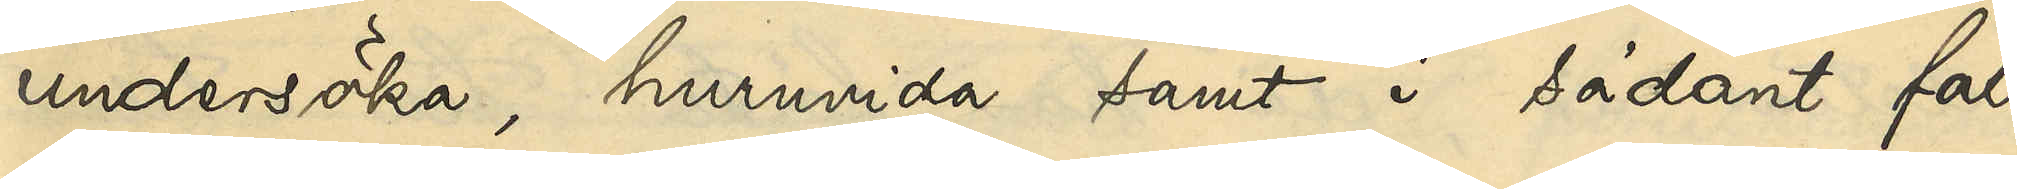undersöka, huruvida samt i sådant fall
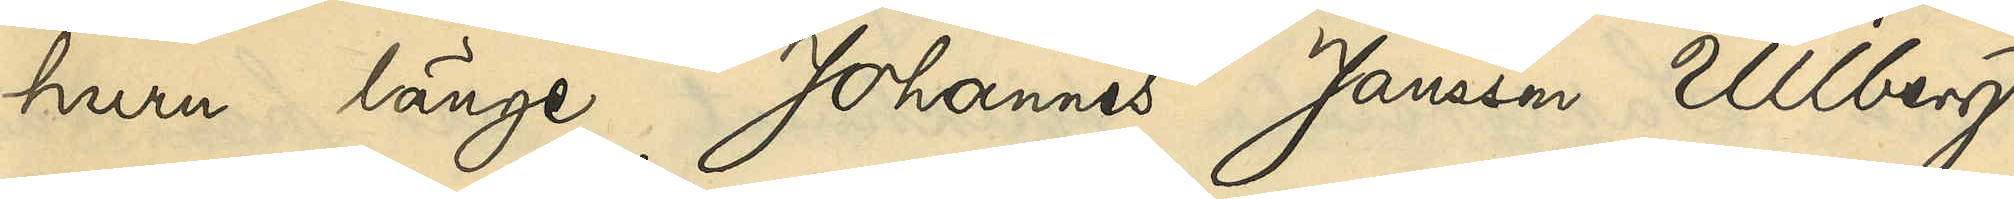huru länge Johannes Jansson Ullberg
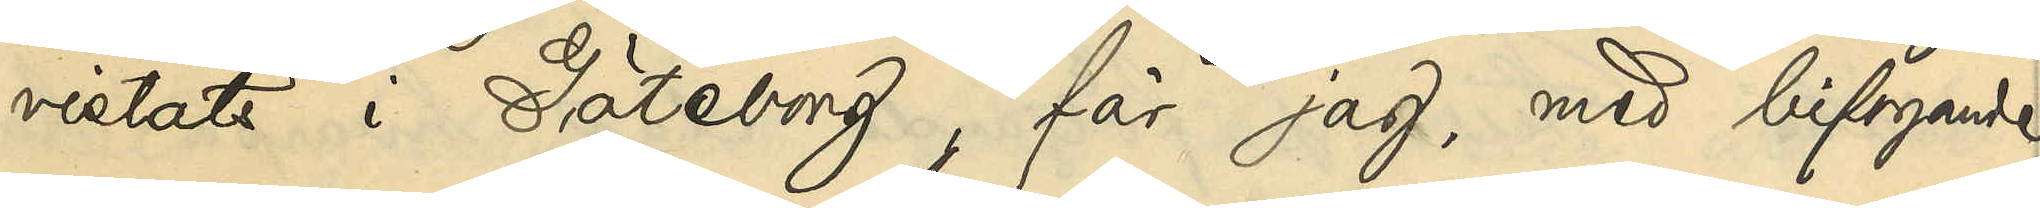vistats i Göteborg, får jag, med bifogande
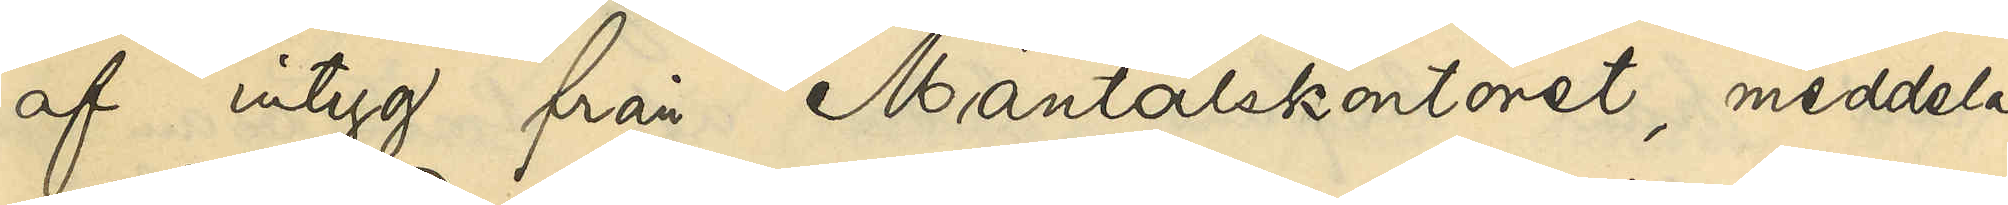af intyg från Mantalskontoret, meddela,
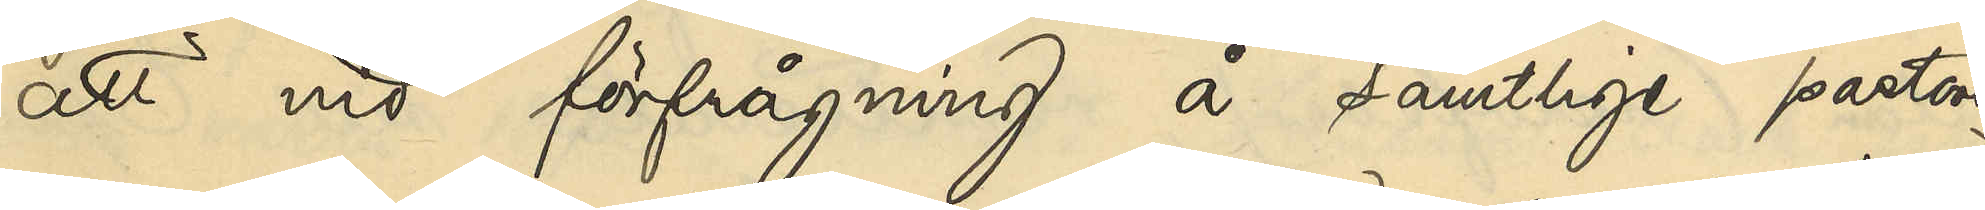att vid förfrågning å samtlige pastors¬
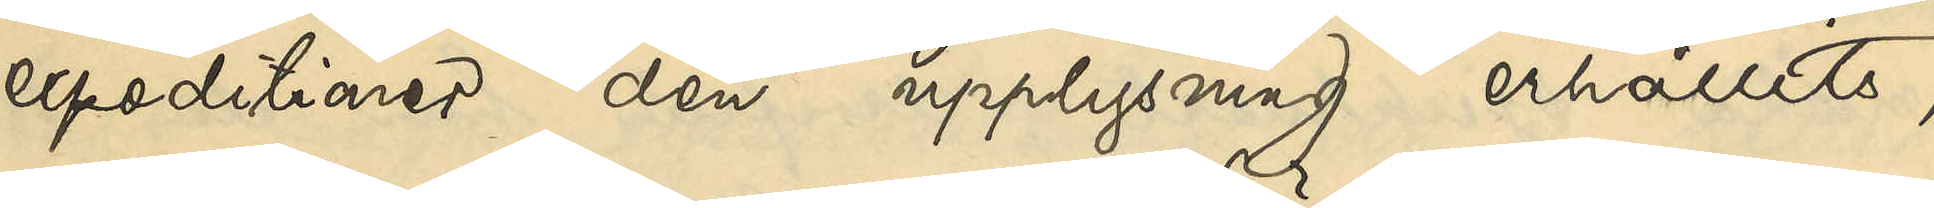expeditioner den upplysning erhållits,
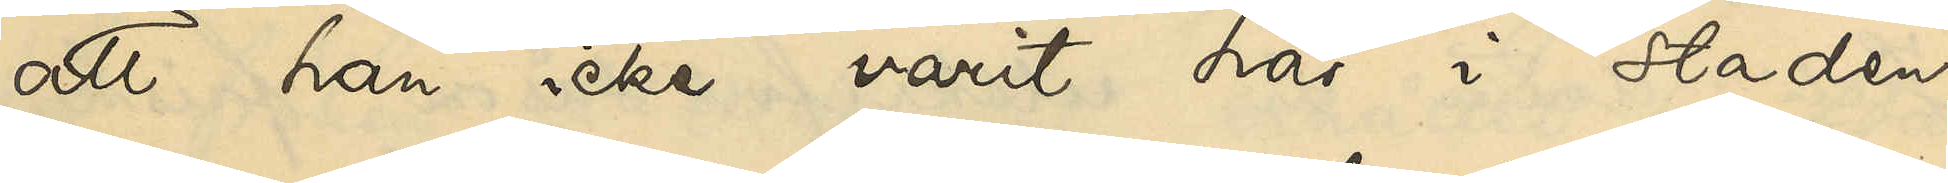att han icke varit här i staden
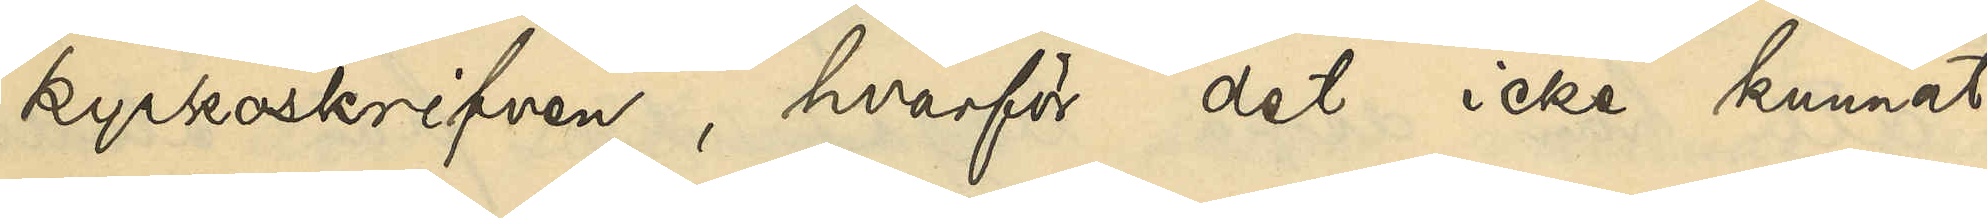kyrkoskrifven, hvarför det icke kunnat
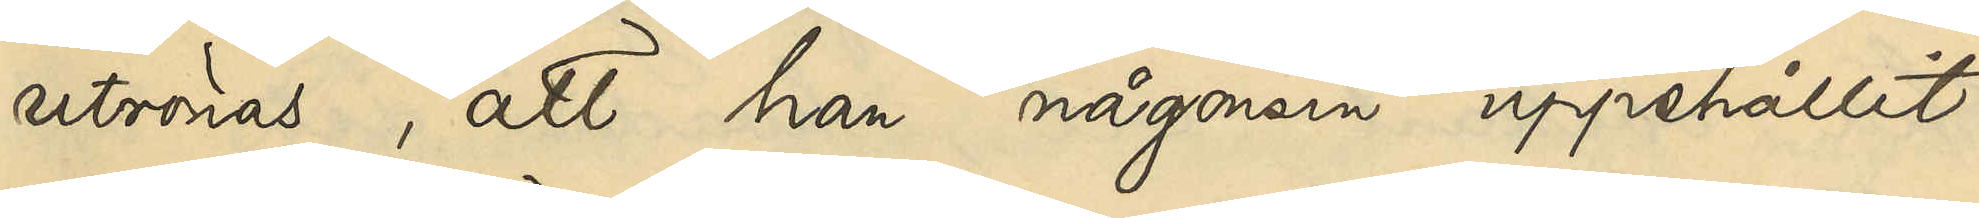utrönas, att han någonsin uppehållit
